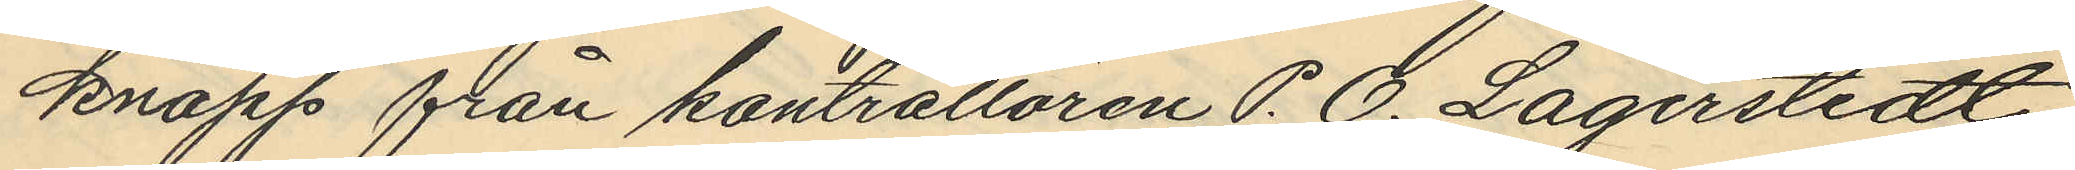knapp från kontrollören P. O. Lagerstedt
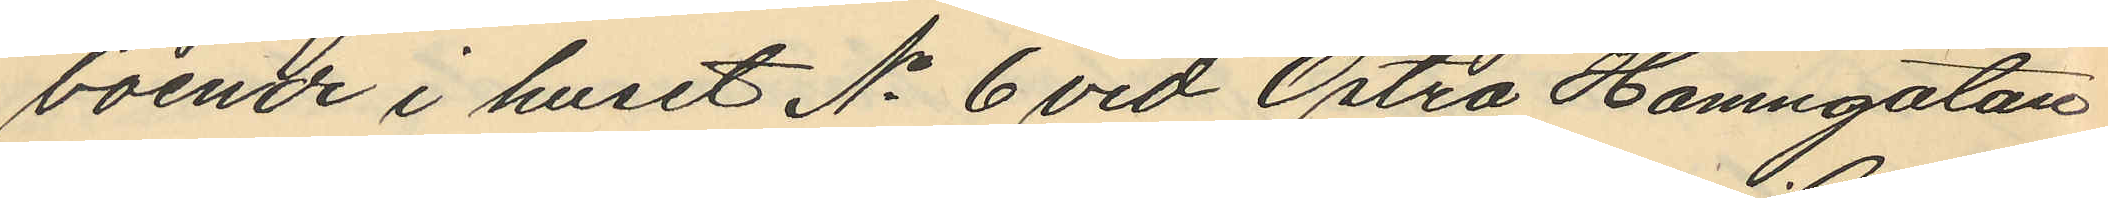voende i huset No 6 vid Östra Hamngatan
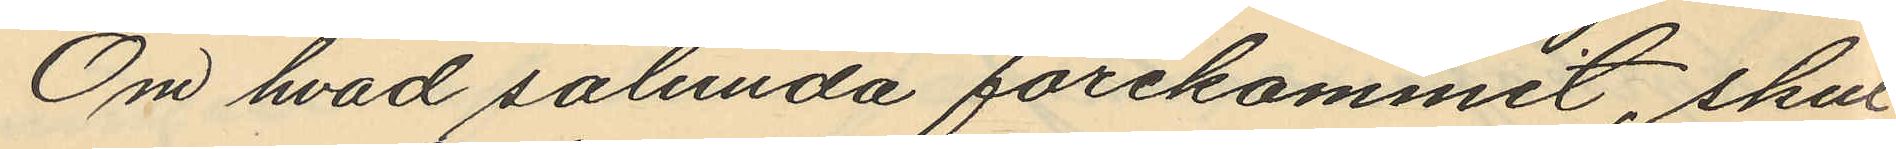Om hvad sålunda förekommit, skul¬
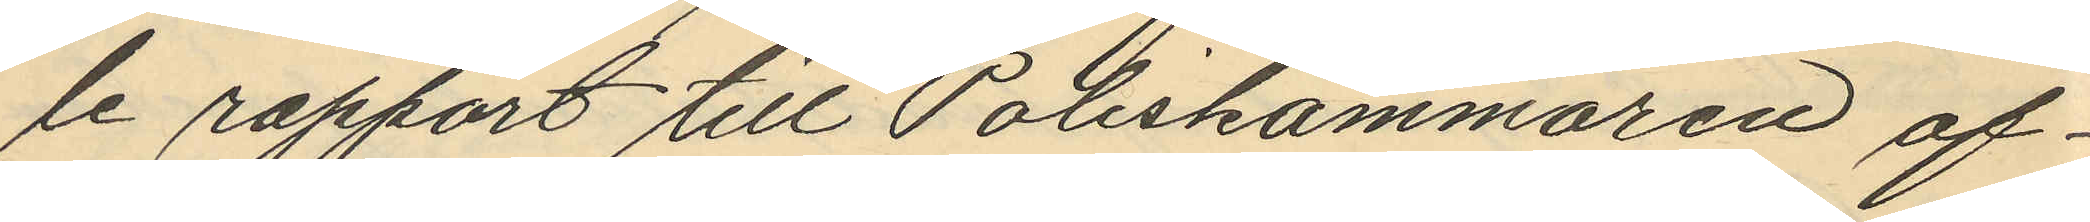le rapport till Poliskammaren af¬
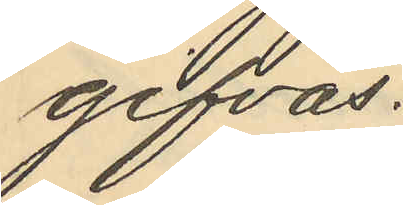gifvas.
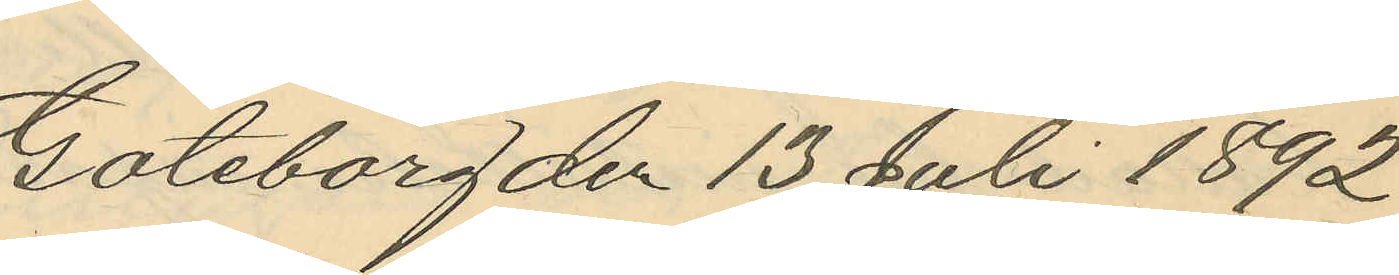Göteborg den 13 Juli 1892.
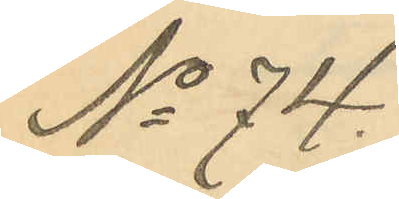No 74.
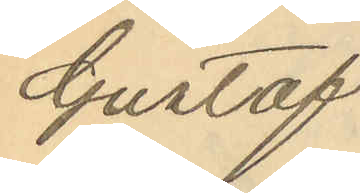Gustaf
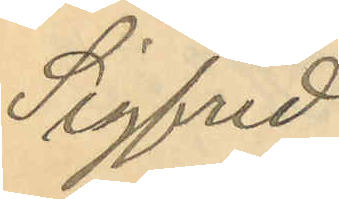Sigfrid
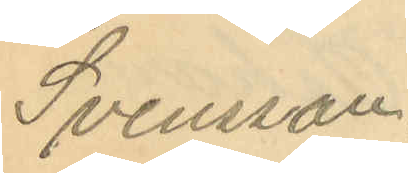Svensson
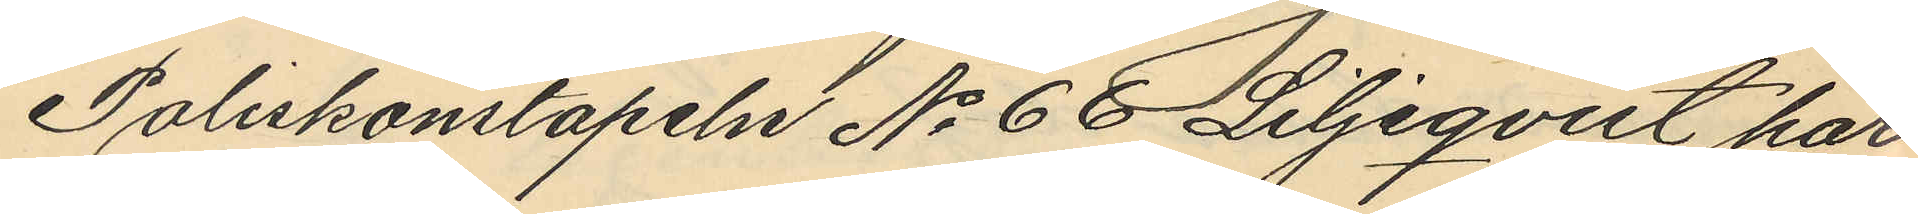Poliskonstapeln No 66 Liljeqvist har
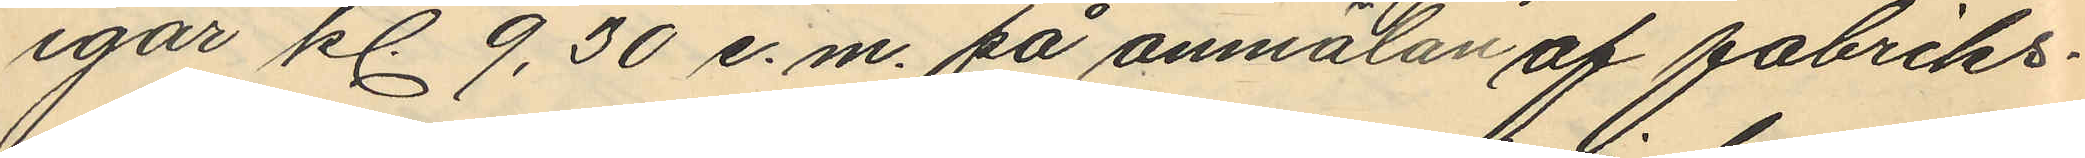igår kl. 9,30 e.m. på anmälan af fabriks¬
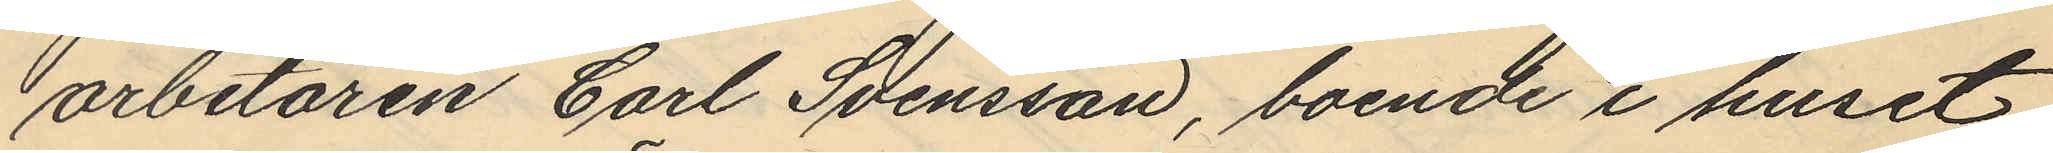arbetaren Carl Svensson, boende i huset
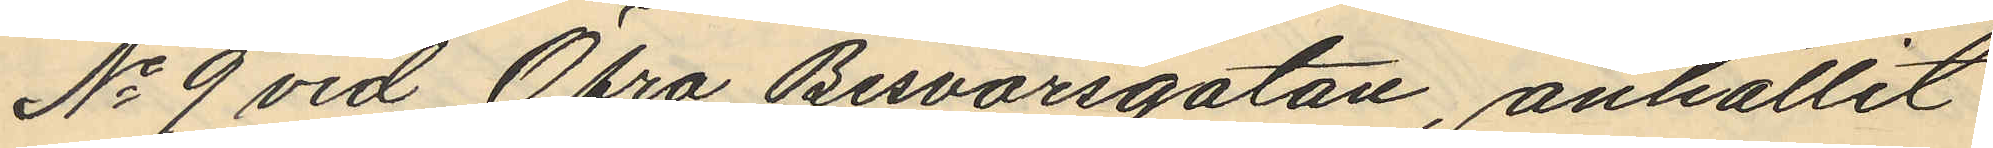No 9 vid Öfra Besvärsgatan, anhållit
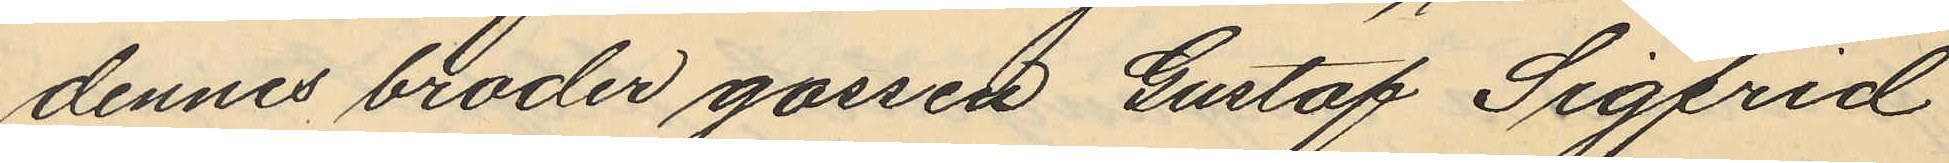dennes broder gossen Gustaf Sigfrid
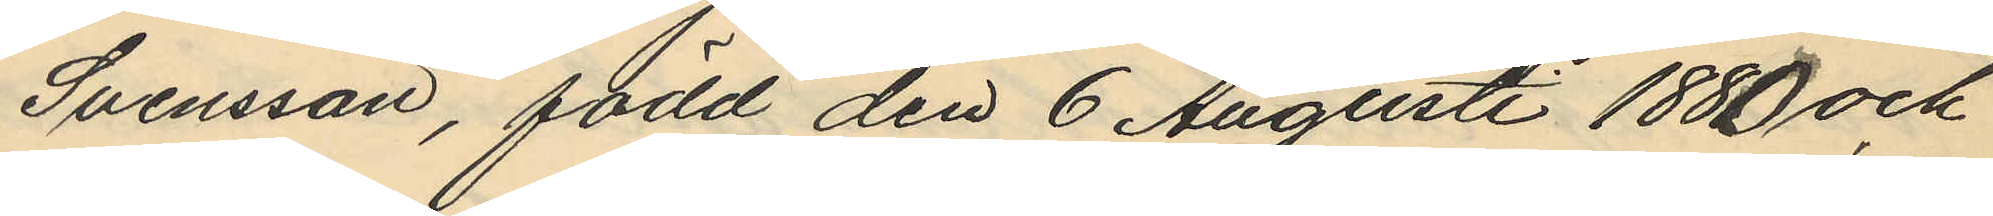Svensson, född den 6 Augusti 1880 och
